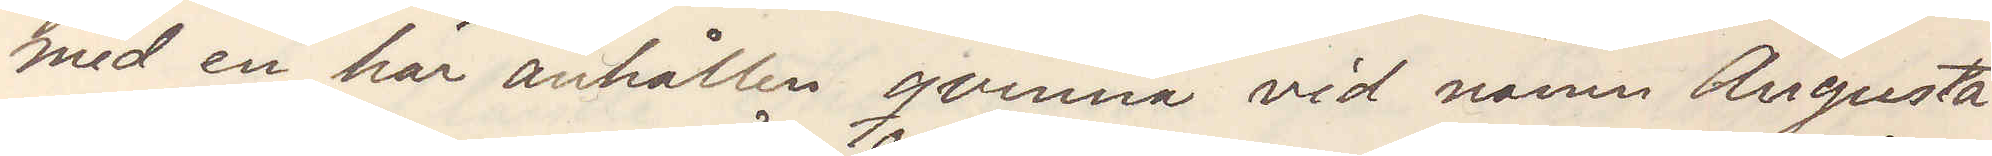med en här anhållen qvinna vid namn Augusta
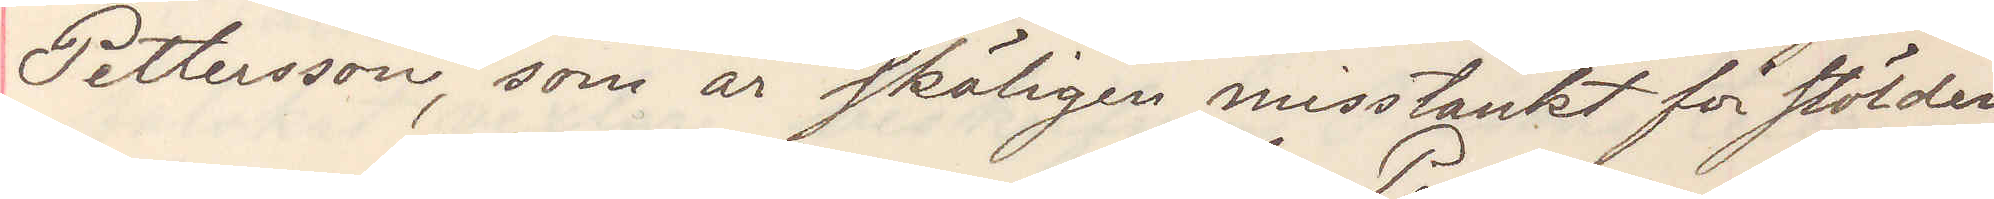Pettersson, som är skäligen misstänkt för stölden
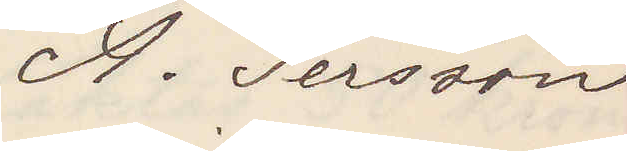A. Persson
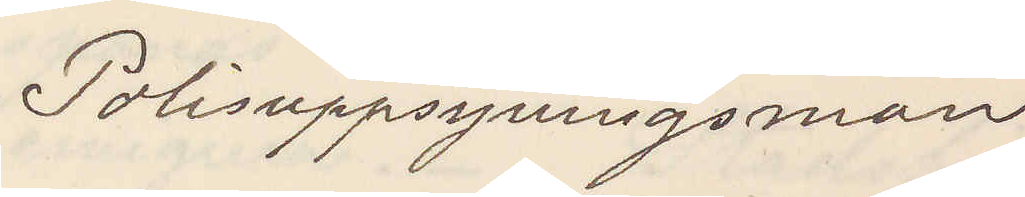Polisuppsyningsman
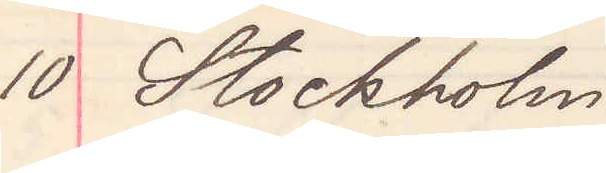10 Stockholm
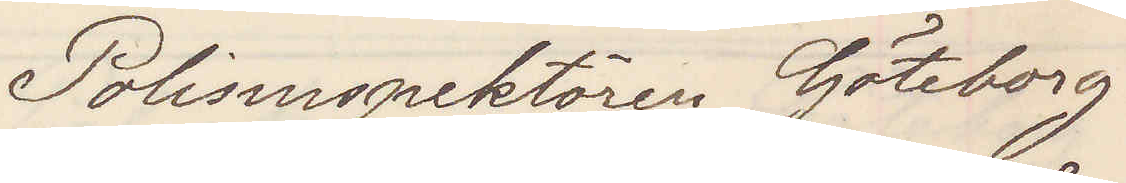Polisinspektören Göteborg
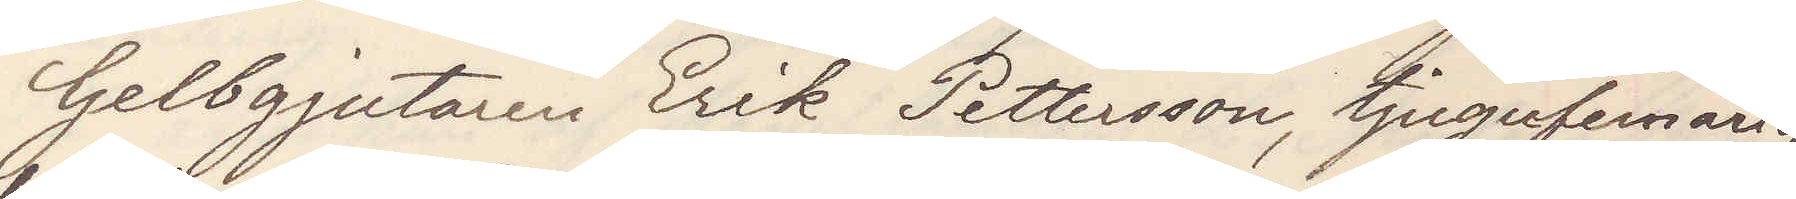Gelbgjutaren Erik Pettersson, tjugofemårig,
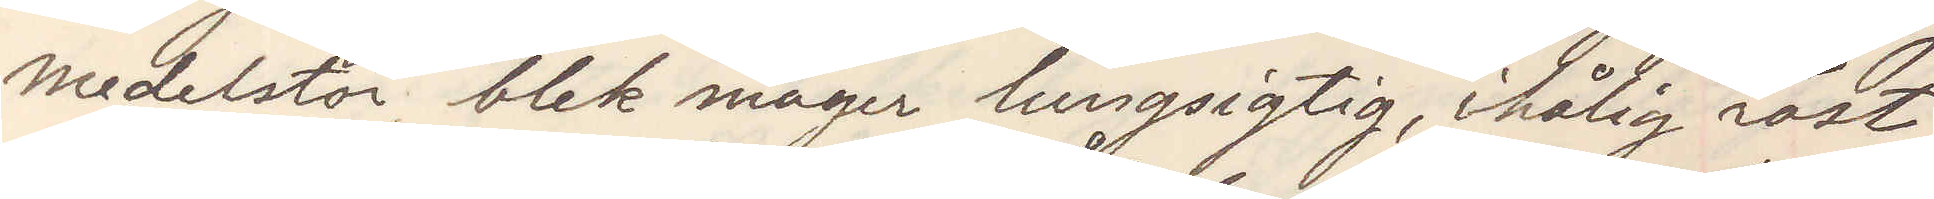medelstor, blek mager lungsigtig, ihålig röst,
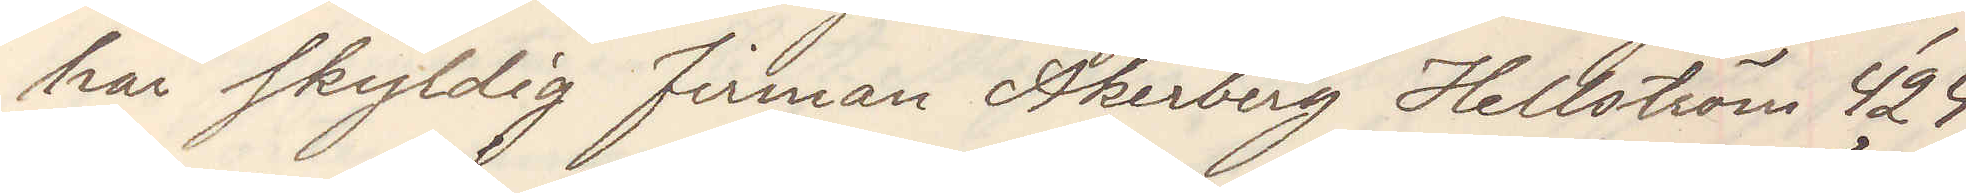här skyldig firman Åkerberg Hellström 424
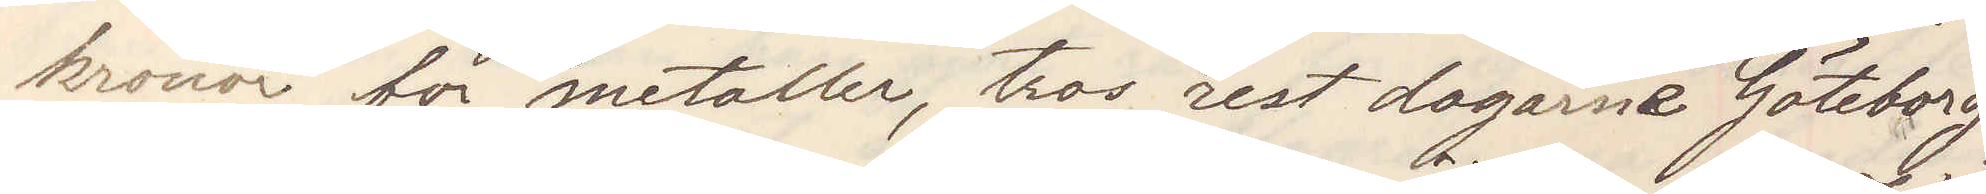kronor för metaller, tros rest dagarne Göteborg
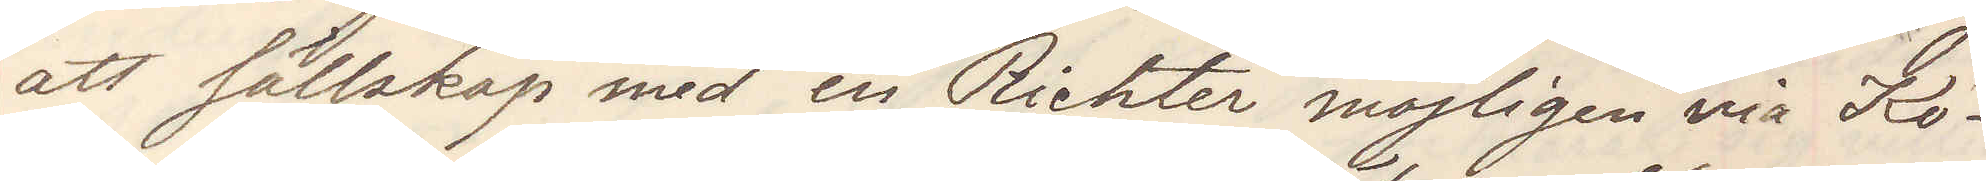att sällskap med en Richter möjligen via Kö¬
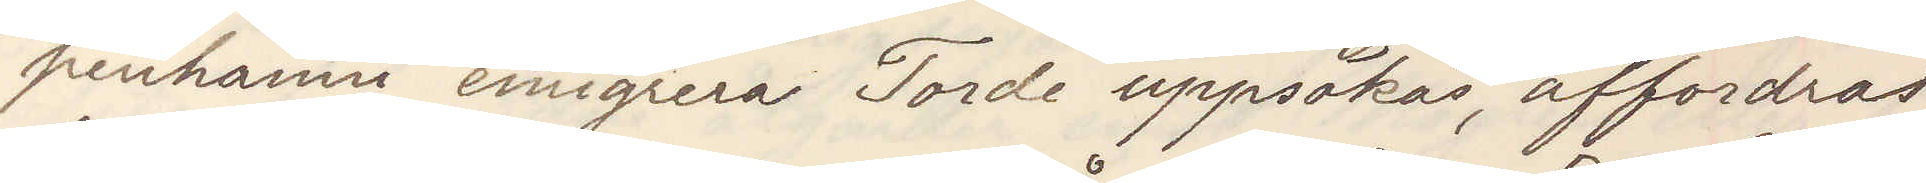penhamn emigrera Torde uppsökas affordras
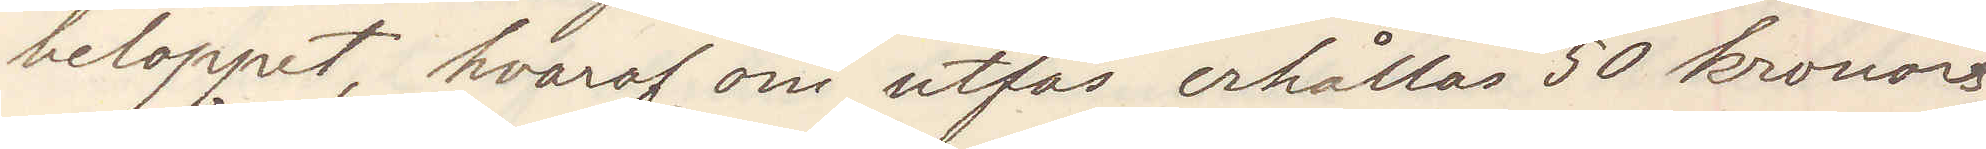beloppet, hvaraf om utfås erhållas 50 kronors
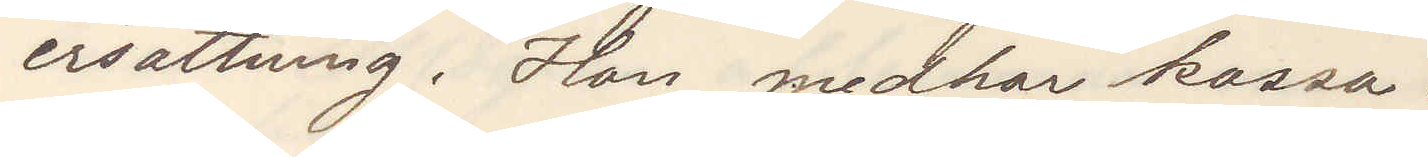ersättning. Han medhar kassa.
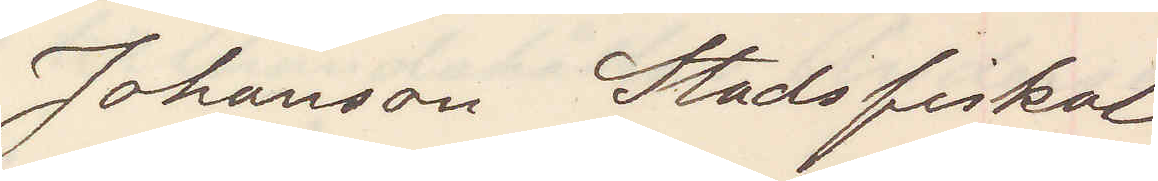Johansson Stadsfiskal
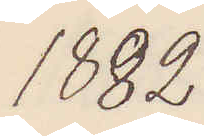1882
